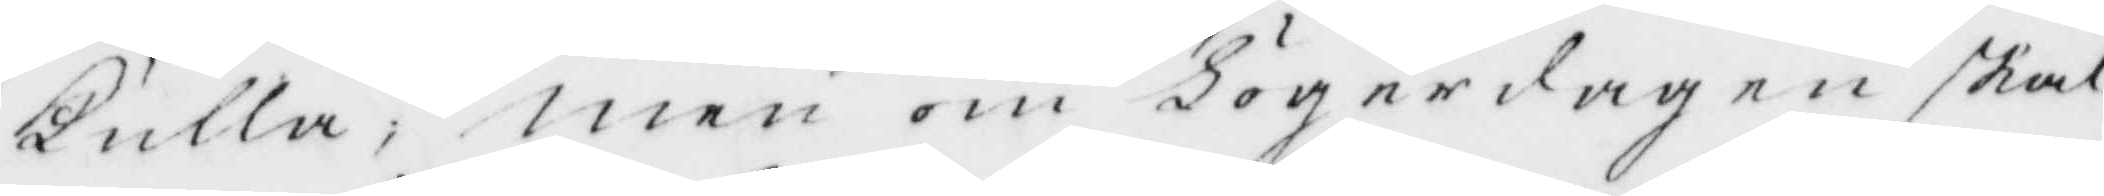kulla, men om Lördagen skal
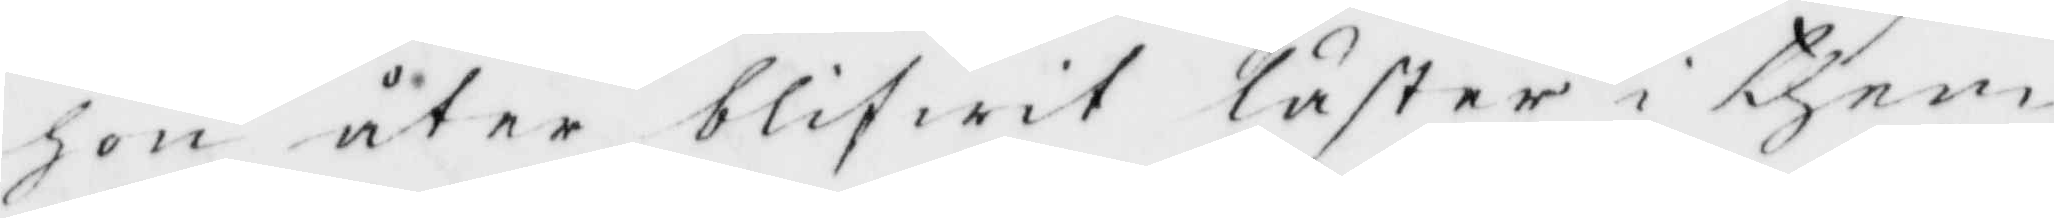hon åther blifwit låster i them,
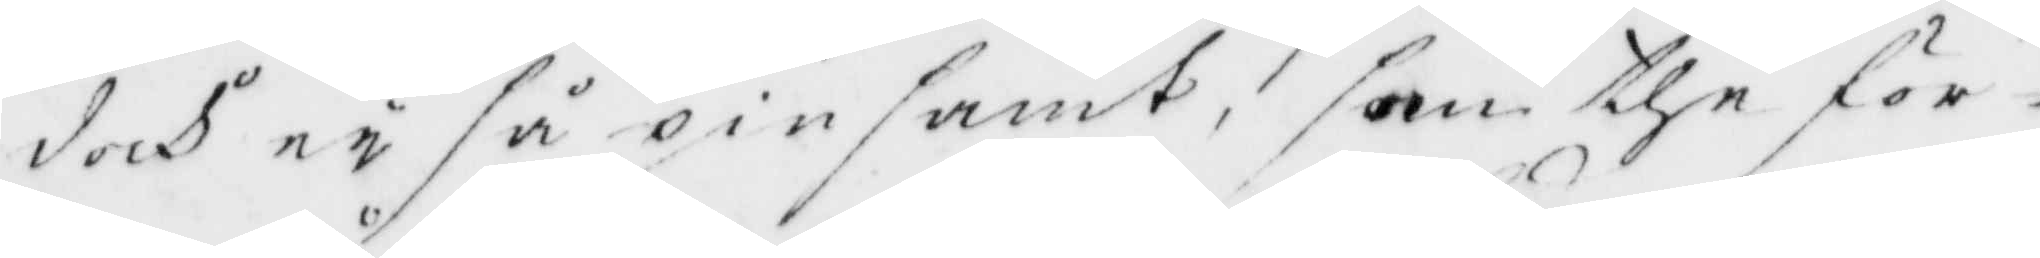doch ey så pinsamt, som the för¬
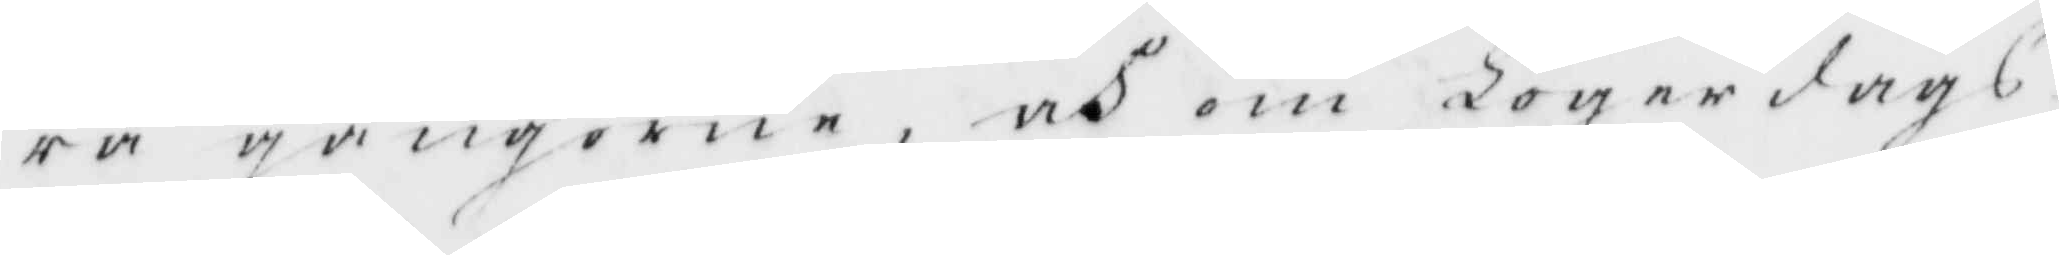ra gångerna, och om Lögerdags¬
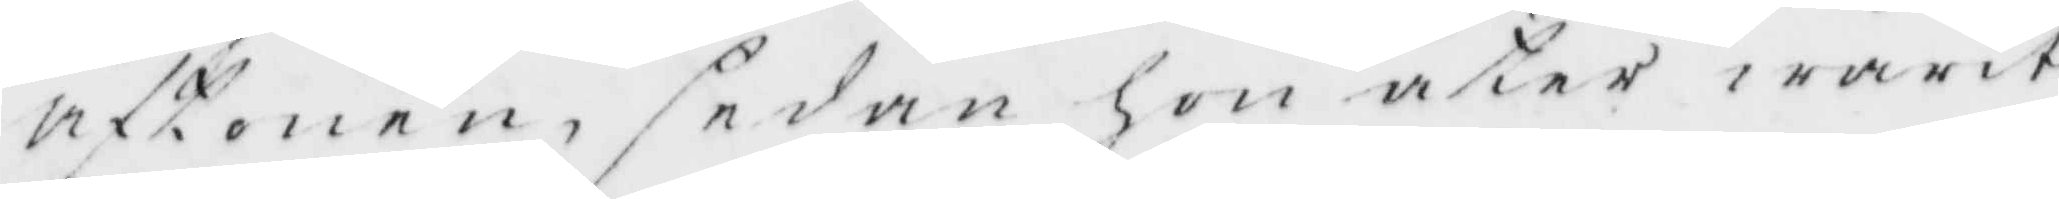aftonen, sedan hon åter warit
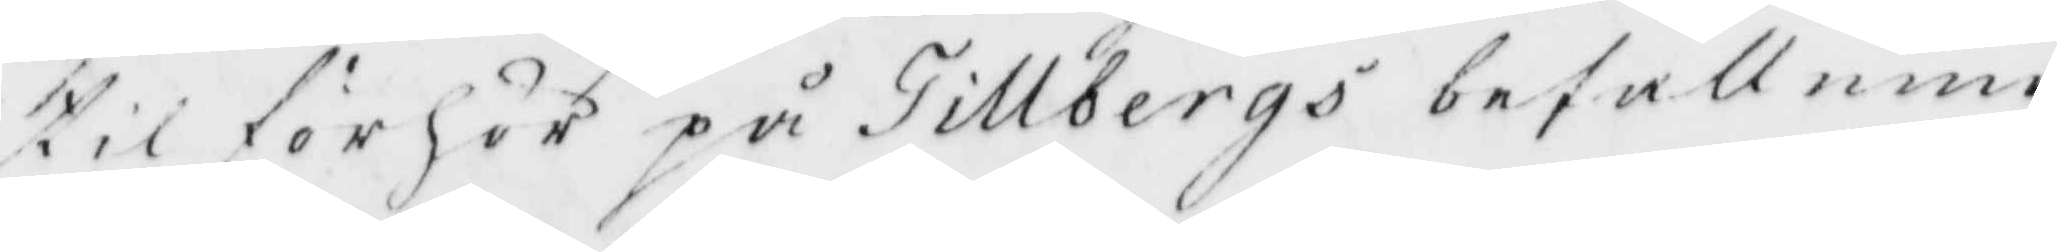til förhör på Tillbergs befallning
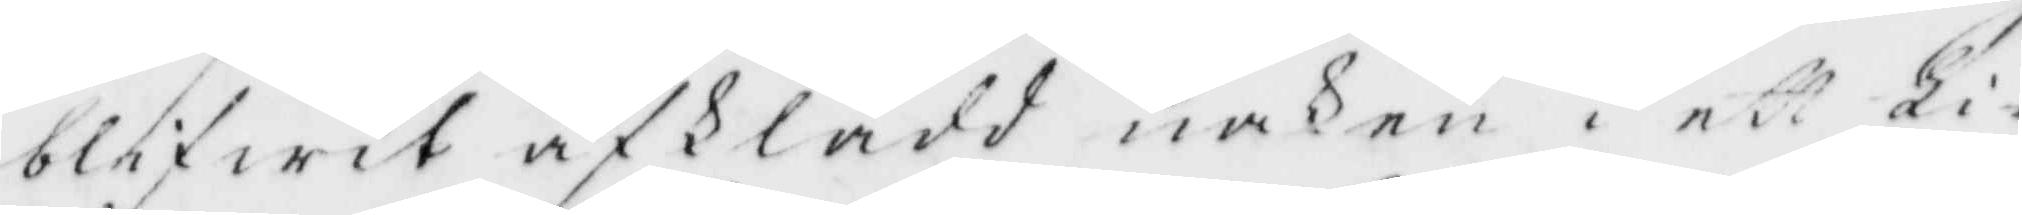blifwit afklädd naken i ett Lider
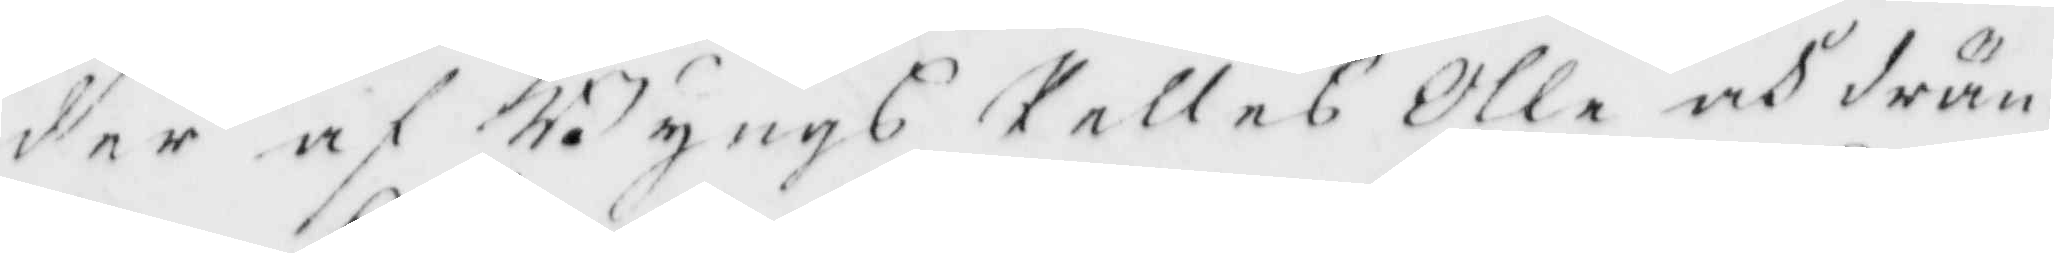af Bängs Relles Olle och drän
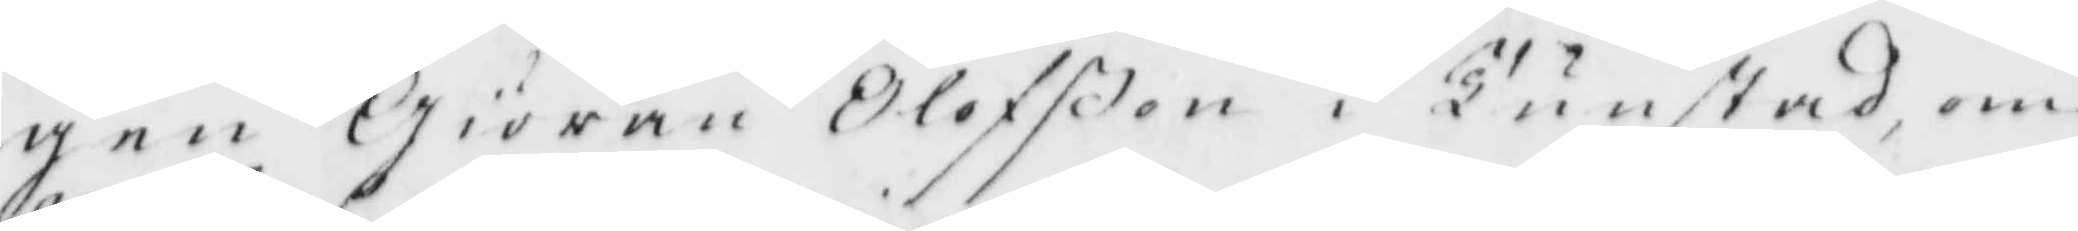gen Giöran Olofßon i Tunstad, om
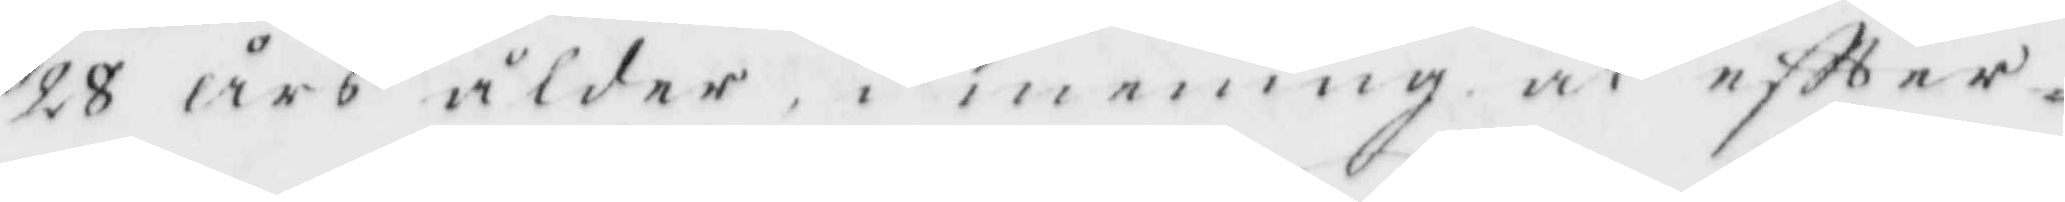28 års ålder i mening at eftter¬
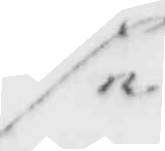se
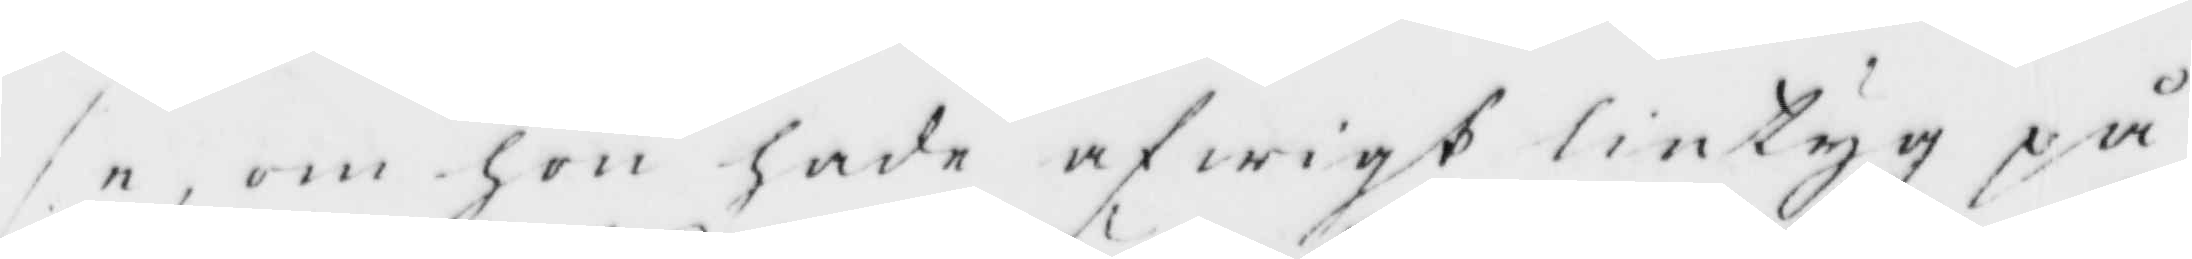se, om hon hade afwigt lintyg på
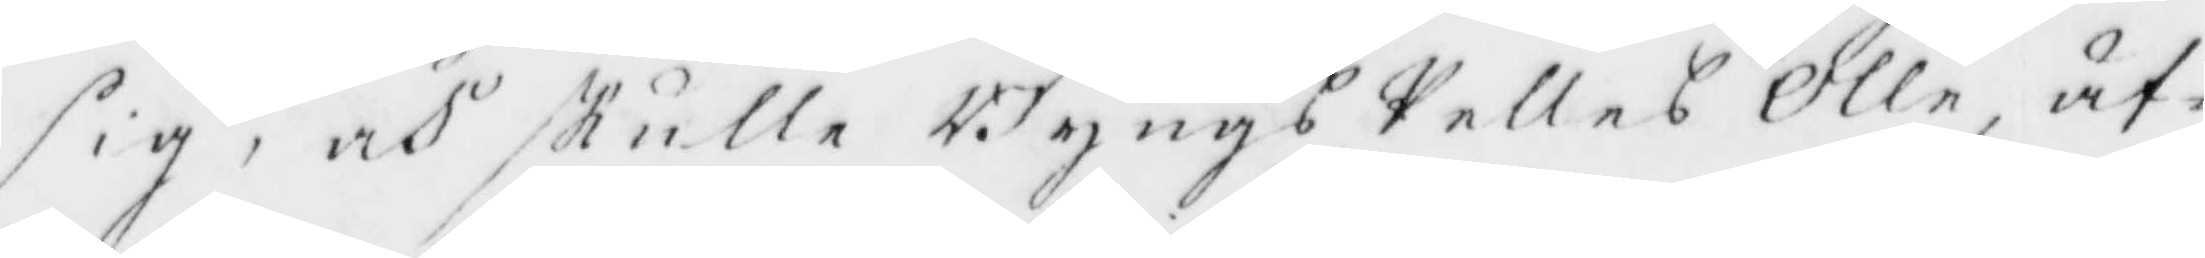sig, och skulle Bängs Pelles Olle, äf¬
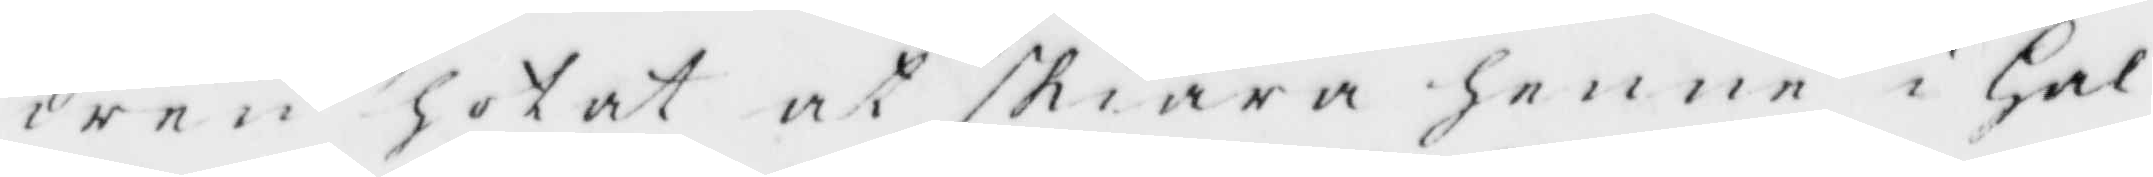wen hotat at skoära henne i hal¬
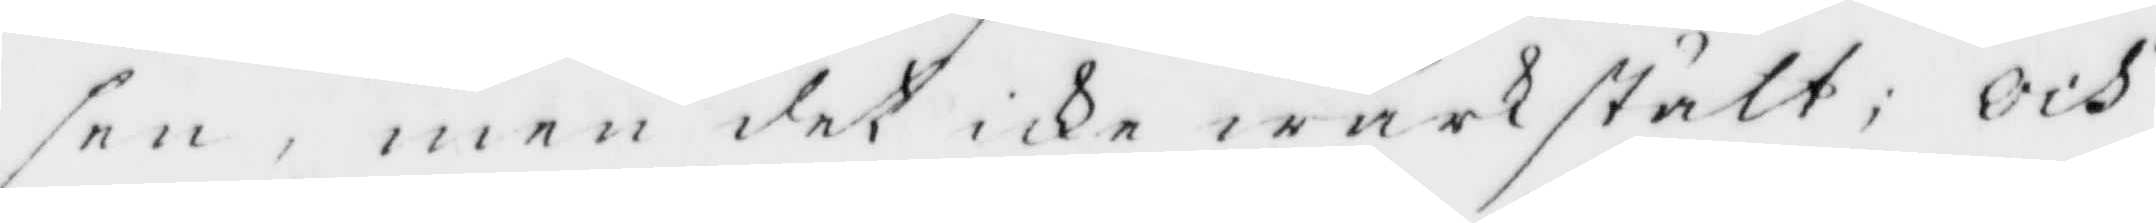sen, men det icke wärkställt; Och
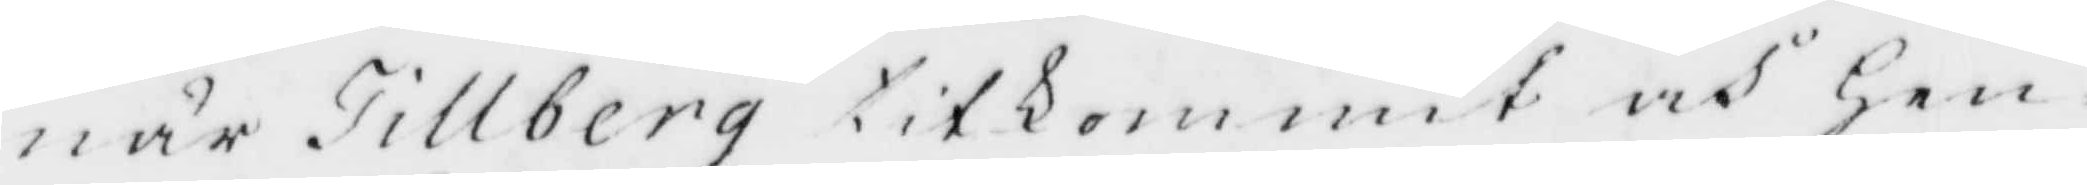när Tillberg titkommit och hen¬
